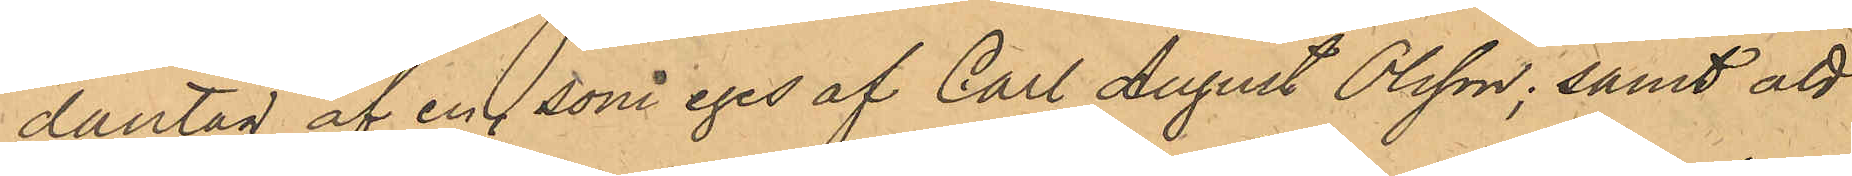dantag af en, som eges af Carl August Olsson; samt att
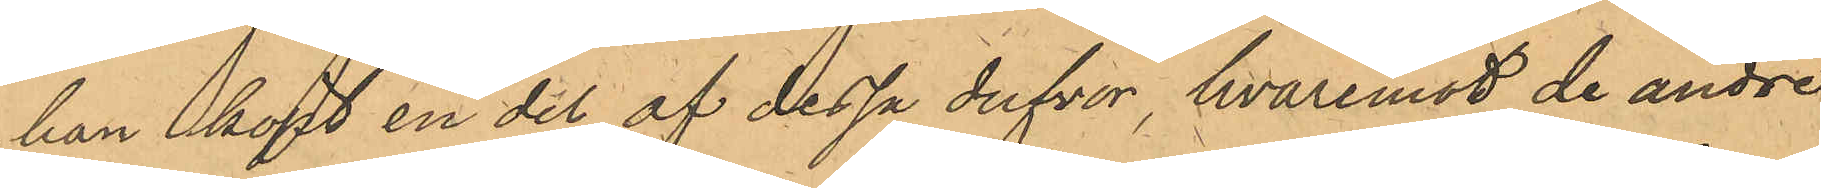han köpt en del af dessa dufvor, hvaremot de andre
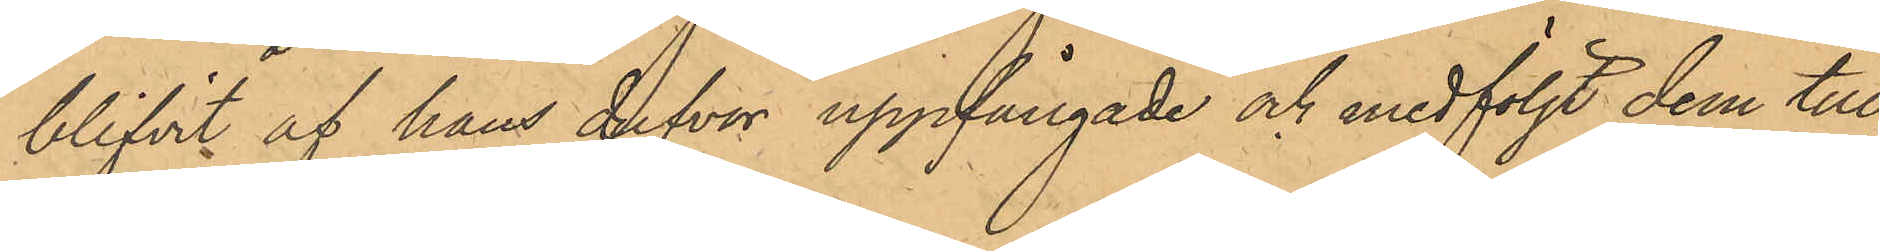blifvit af hans dufvor uppfångade och medföljt dem till
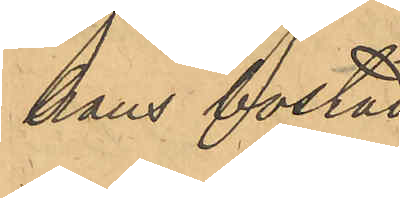hans bostad.
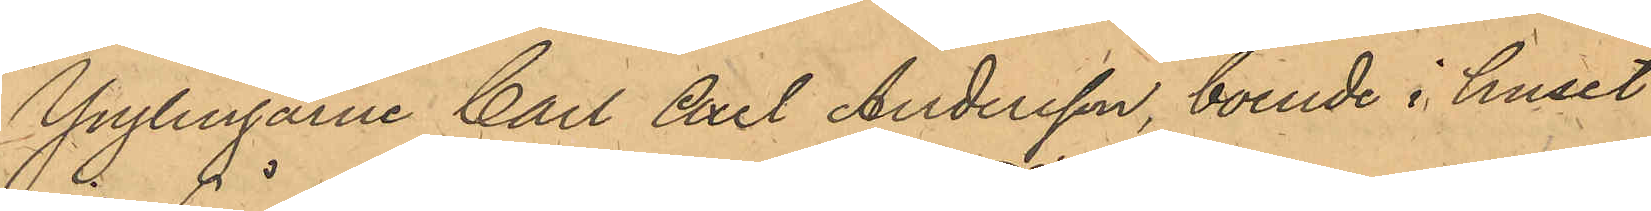Ynglingarne Carl Axel Andersson, boende i huset
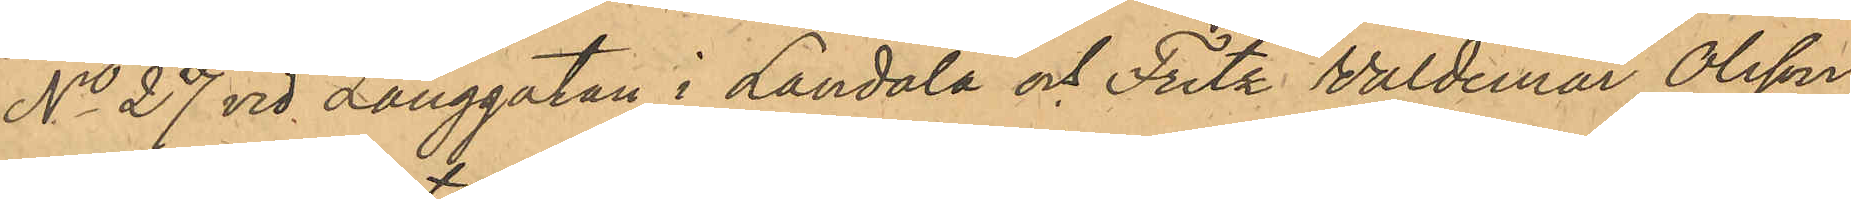No 27 vid Långgatan i Landala och Fritz Waldemar Olsson,
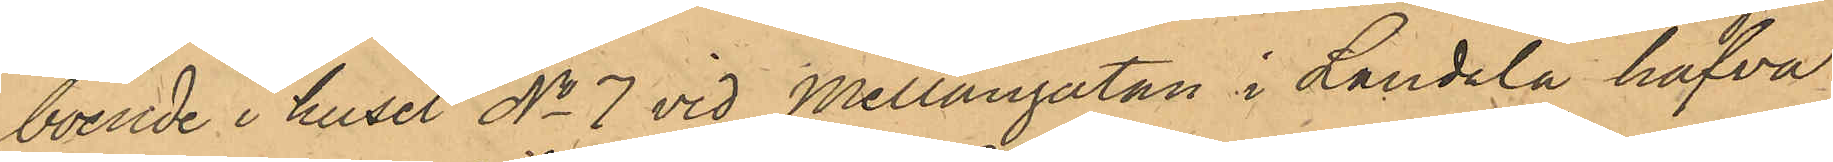boende i huset No 7 vid Mellangatan i Landala hafva
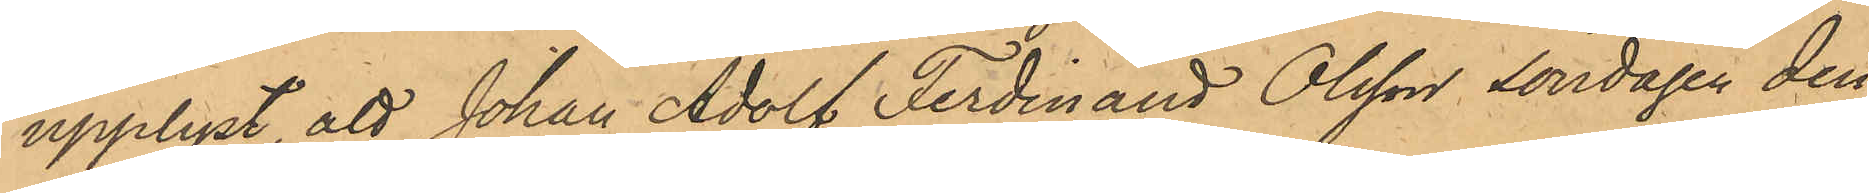upplyst, att Johan Adolf Ferdinand Olsson söndagen den
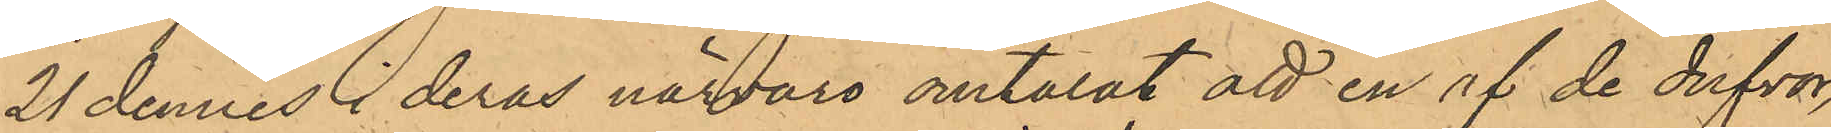21 dennes i deras närvaro omtalat att en af de dufvor,
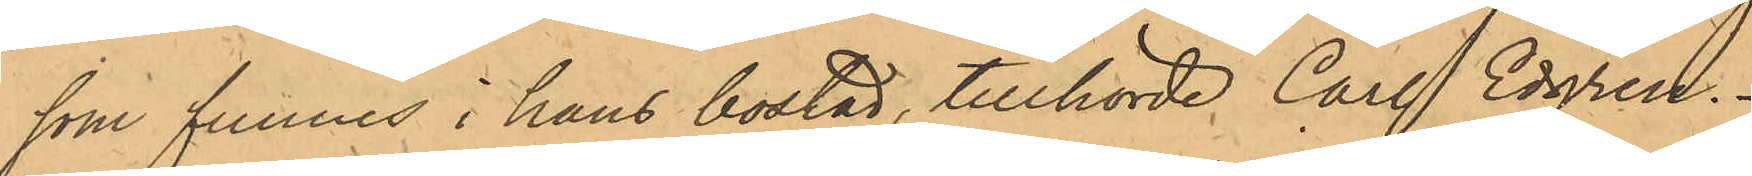som funnes i hans bostad, tillhörde Carl Edgren.
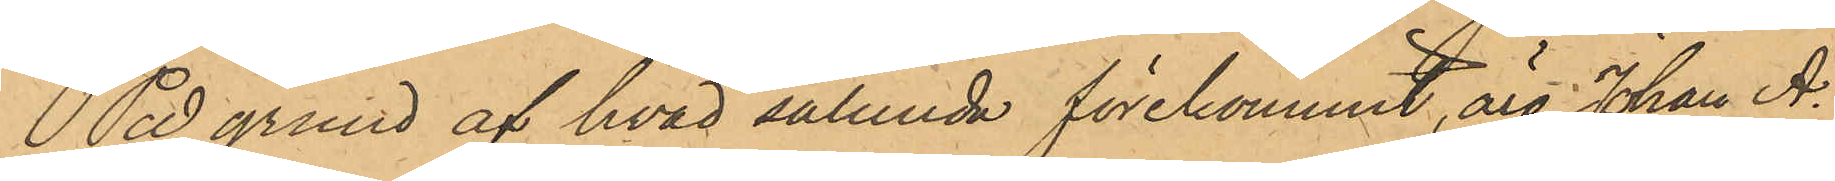På grund af hvad sålunda förekommit, äro Johan A¬
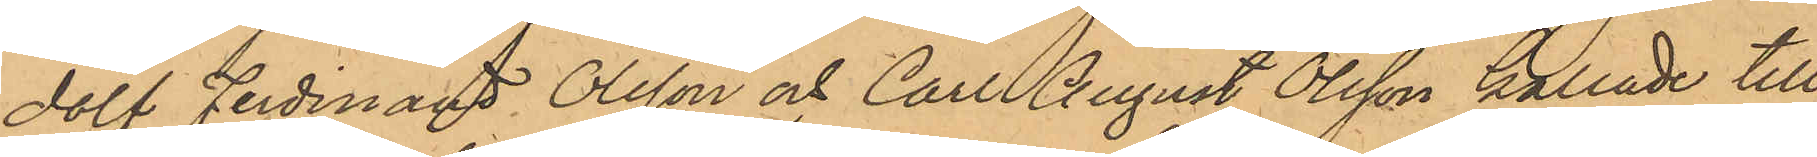dolf Ferdinand Olsson och Carl August Olsson kallade till
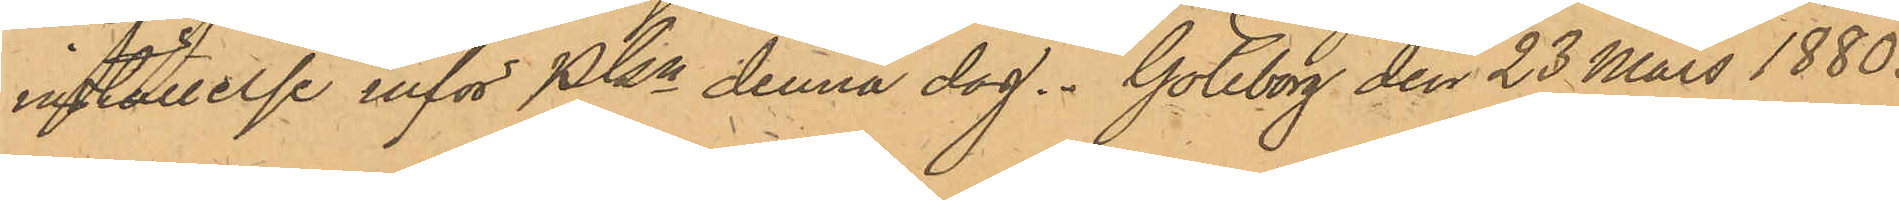inställelse inför PKn denna dag. Göteborg den 23 Mars 1880.
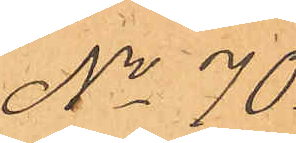No 70.
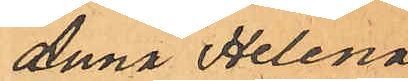Anna Helena
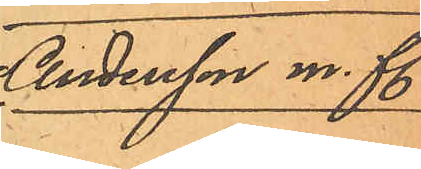Andersson m. fl.
